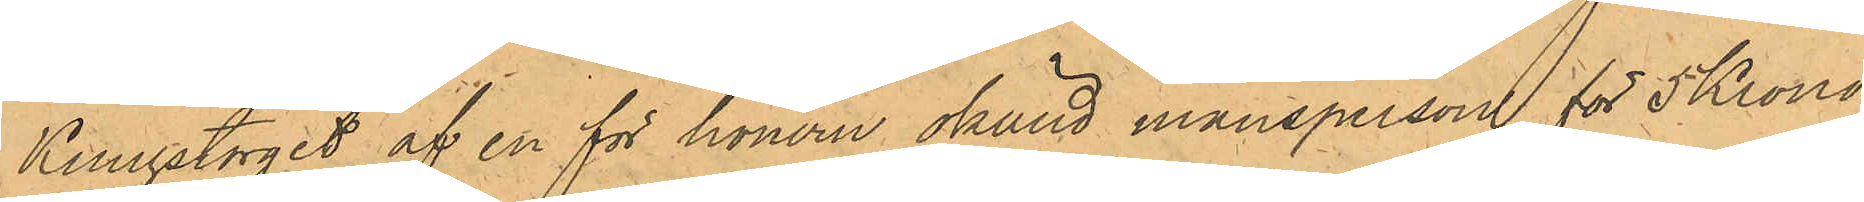Kungstorget af en för honom okänd mansperson för 5 Kronor
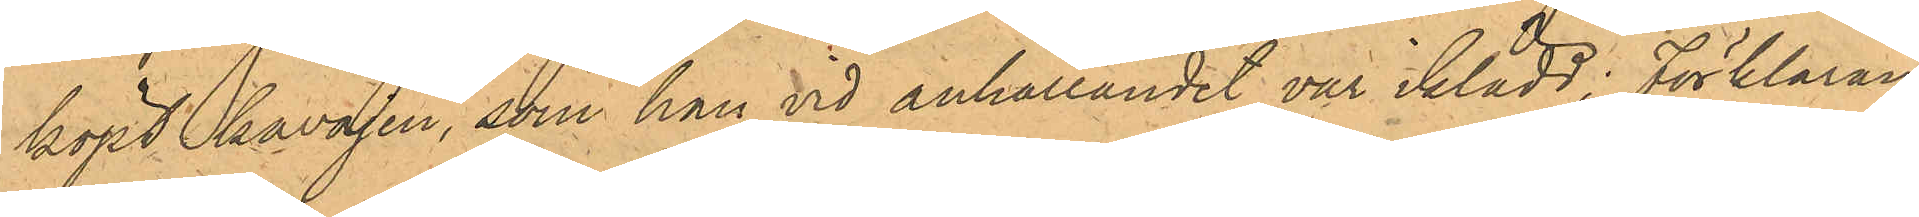köpt kavajen, som han vid anhållandet var iklädd. Förklaran¬
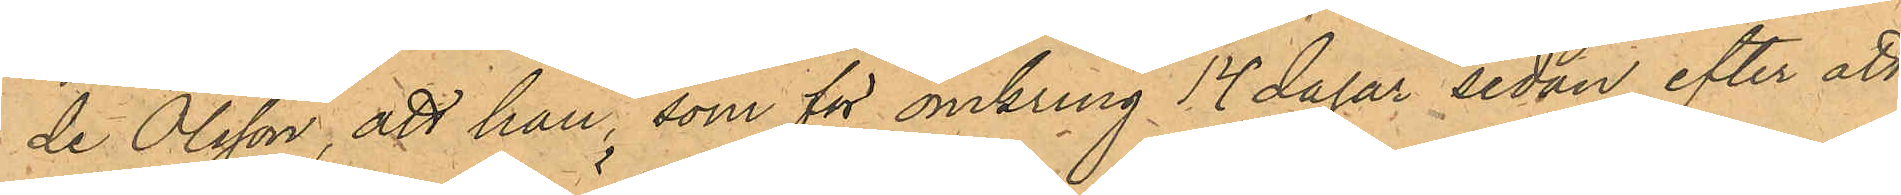de Olsson, att han, som för omkring 14 dagar sedan, efter att
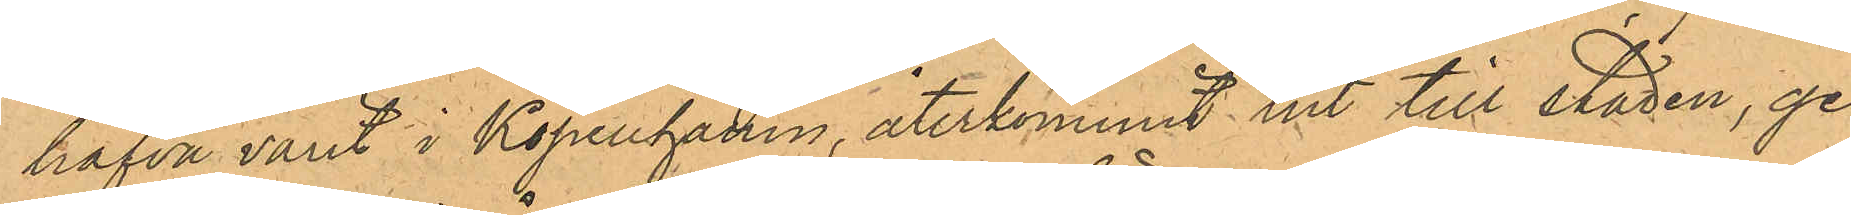hafva varit i Köpenhamn, återkommit ut till staden, ge¬
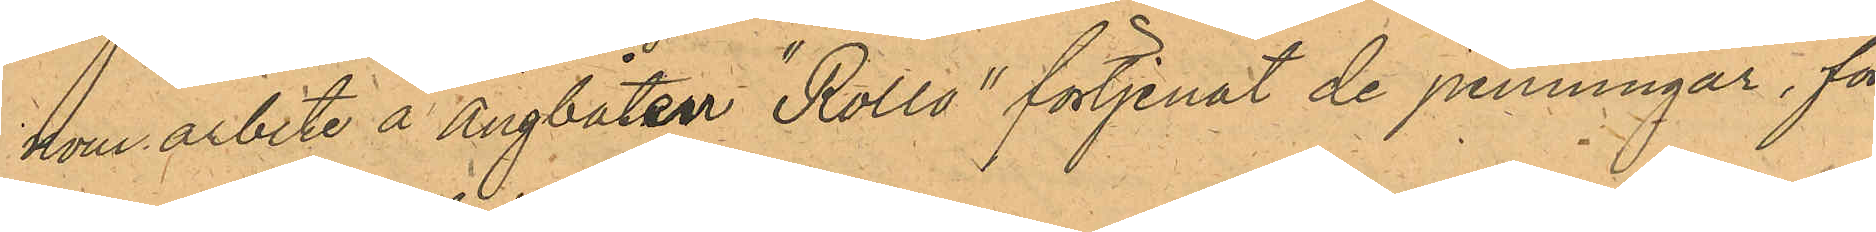nom arbete å Ångbåten "Rollo" förtjenat de penningar, för
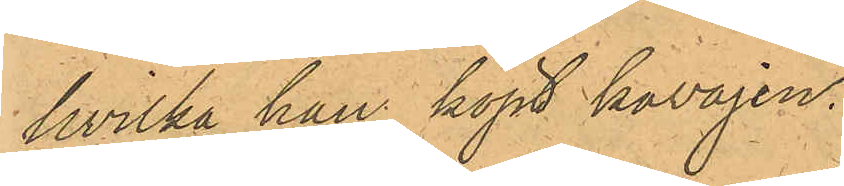hvilka han köpt kavajen.
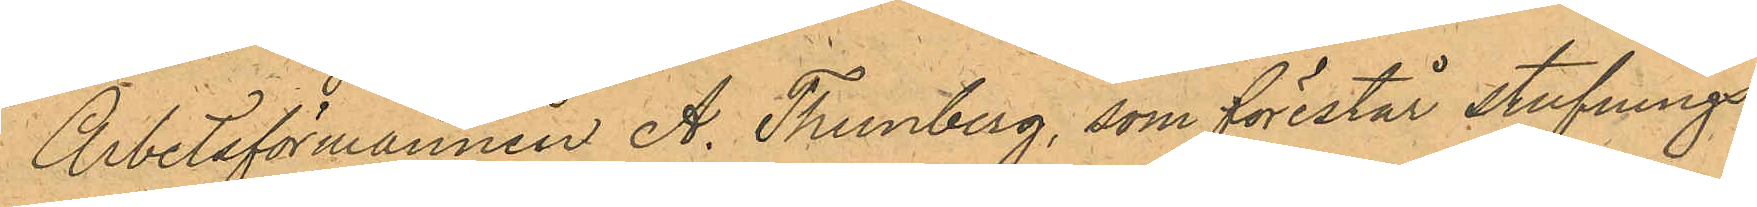Arbetsförmannen A. Thunberg, som förestår stufnings¬
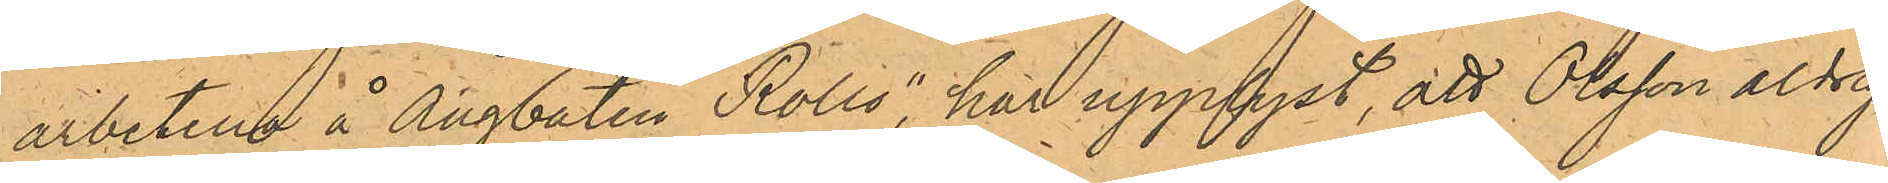arbetena å Ångbåten Rollo" har upplyst, att Olsson aldrig
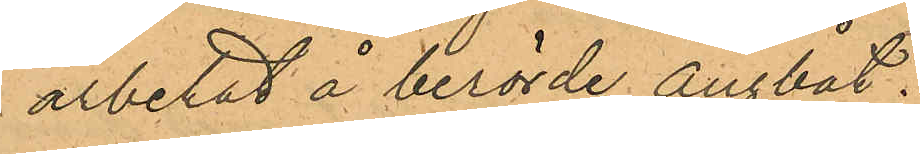arbetat å berörde ångbåt.
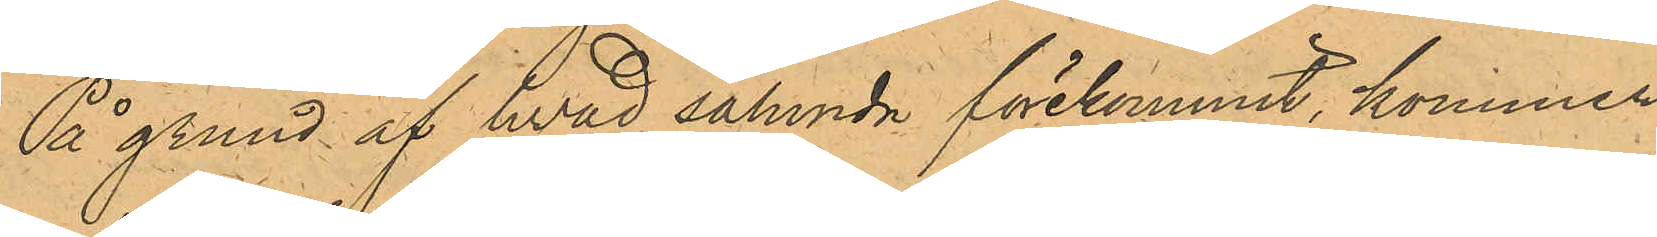På grund af hvad sålunda förekommit, kommer
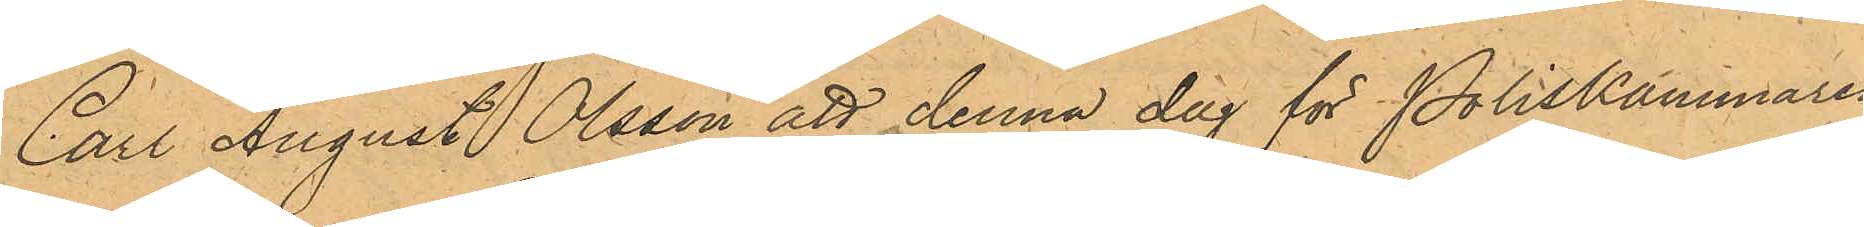Carl August Olsson att denna dag för Poliskammaren
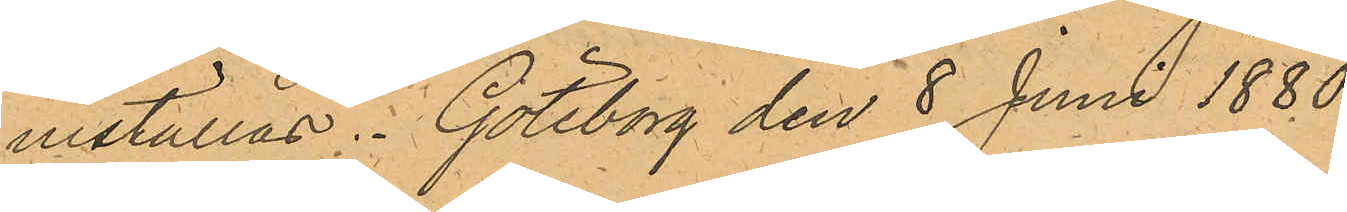inställas. Göteborg den 8 Juni 1880.
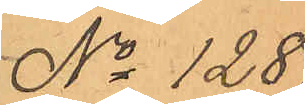No 128.
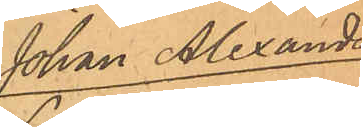Johan Alexander
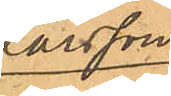Larsson.
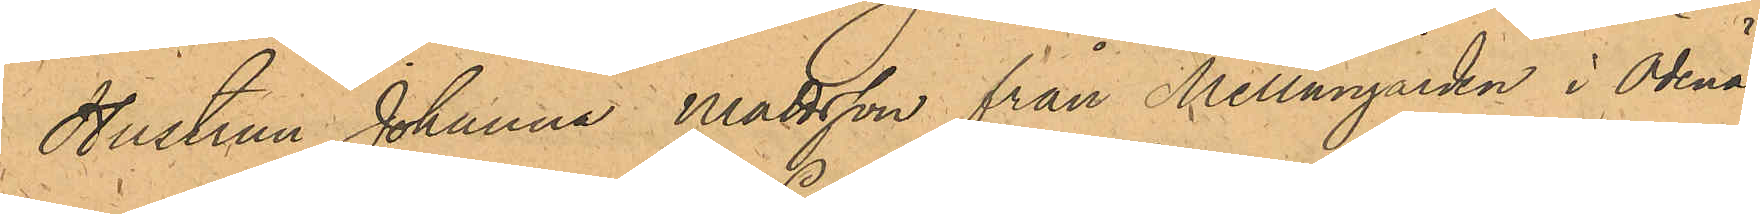Hustrun Johanna Mattsson från Mellangården i Ödenäs
